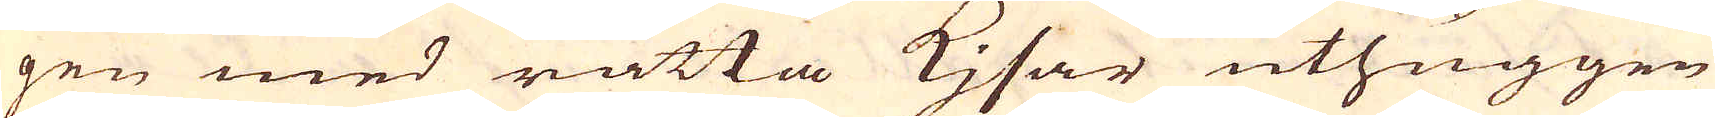gen med rätta Kjsar uthuggen
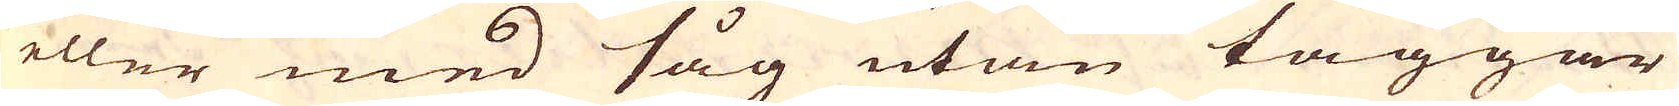eller med såg utan taggar
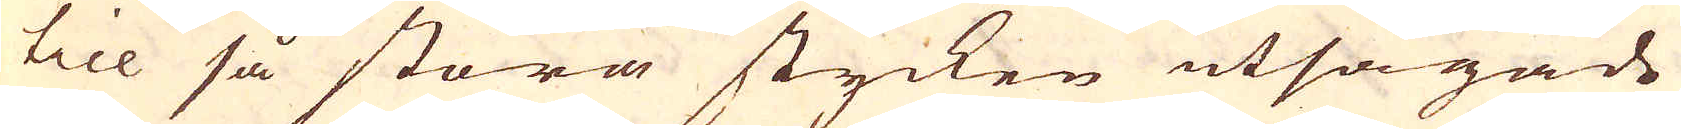till så stora stycken utsågade
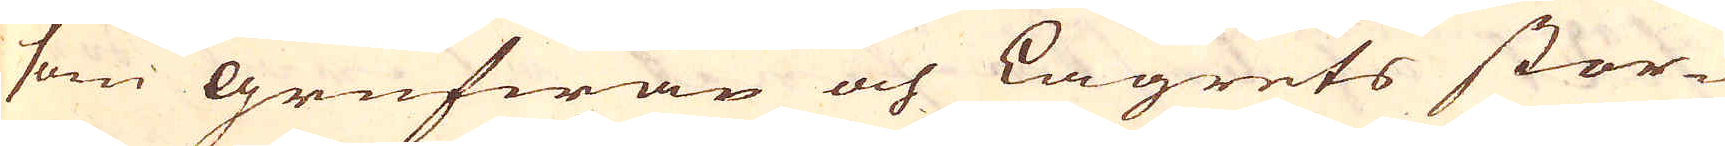som grufwan och Lägrets stor-
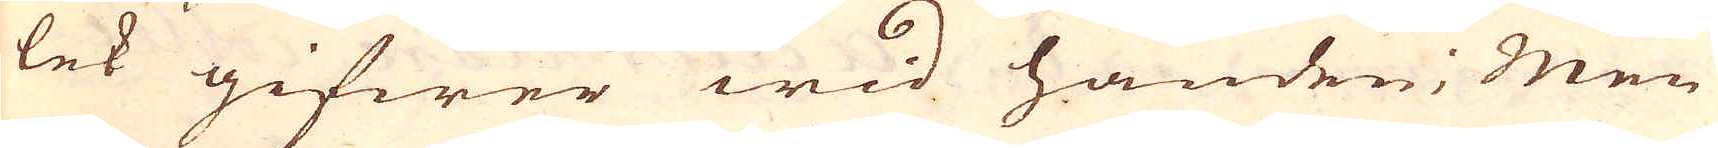lek gifwer wid handen; Men
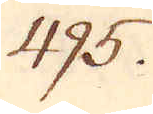495.
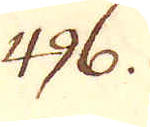496.
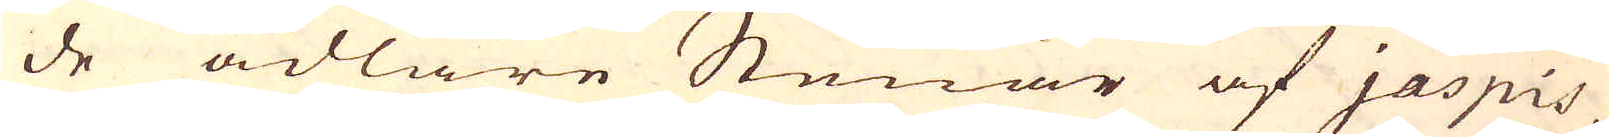de ädlare Stenar af jaspis
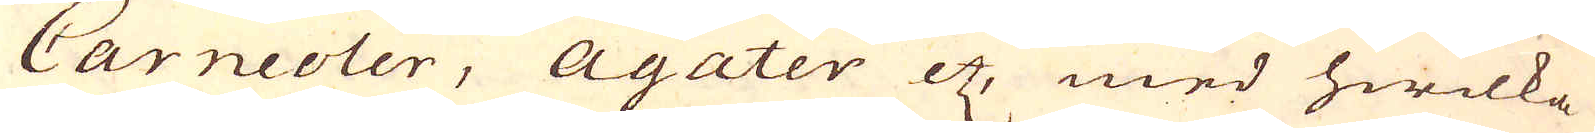Carncoler, Agater etc, med hwilka
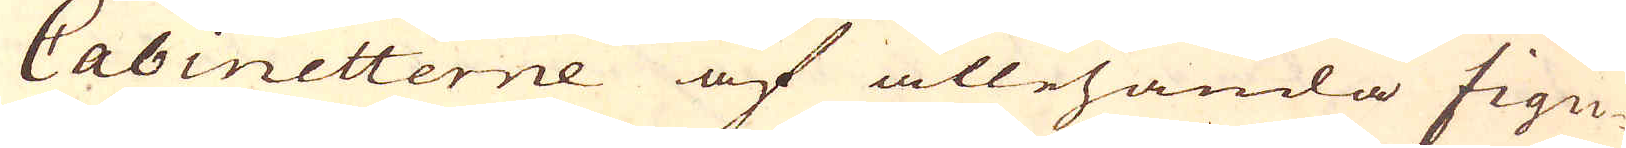Cabinetterne af allehanda figu-
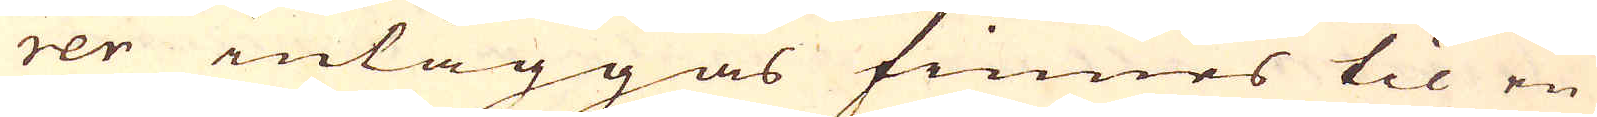rer inläggas finnes til en
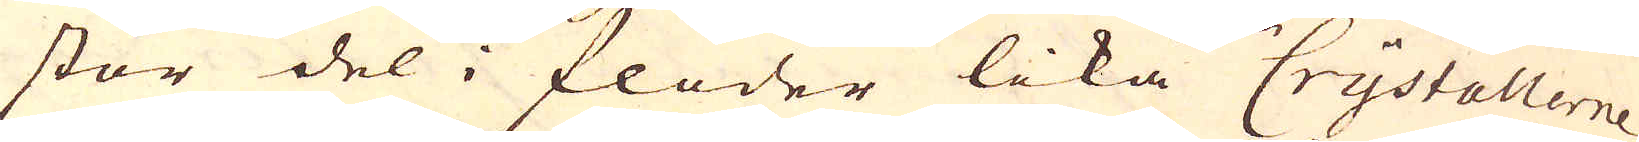stor del i floder lika Crystallerne
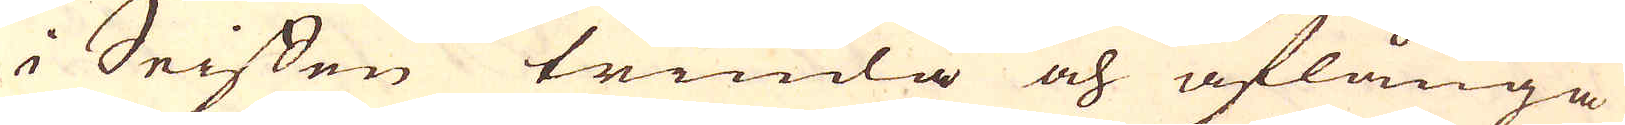i Seiffen trinda och aflånga
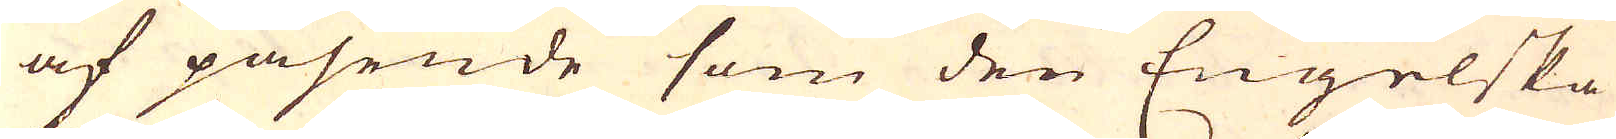af påsende som den Engelska
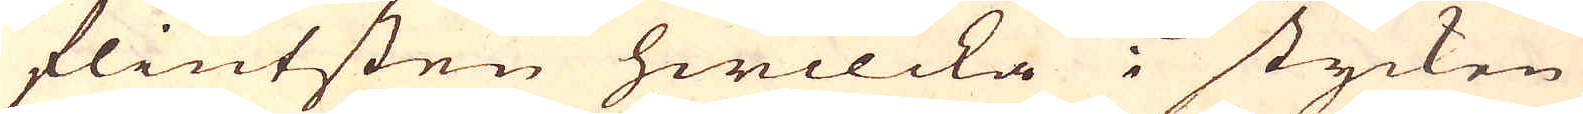flintsten hwilcka i stycken
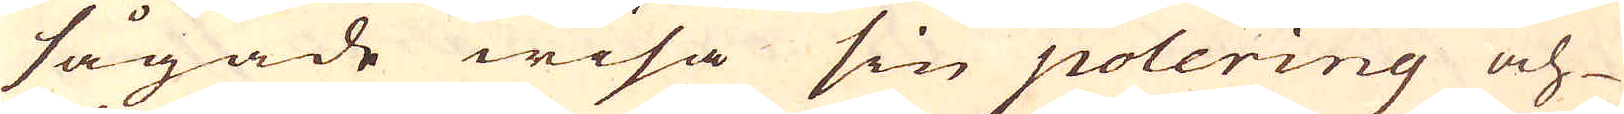sågade wisa sin polering och
